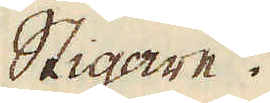Stigare.
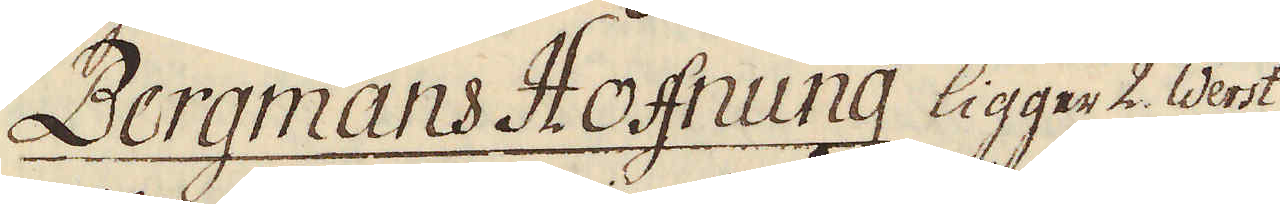Bergmans Hoffnung ligger 2. Werst
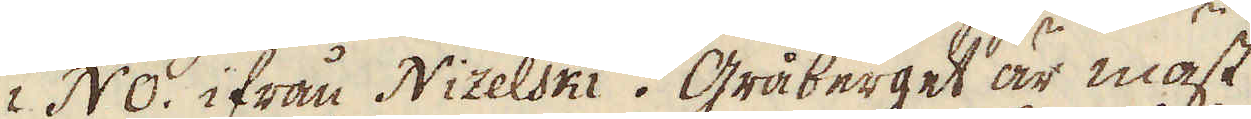i NO. ifrån Nizelski. Gråberget är mäst
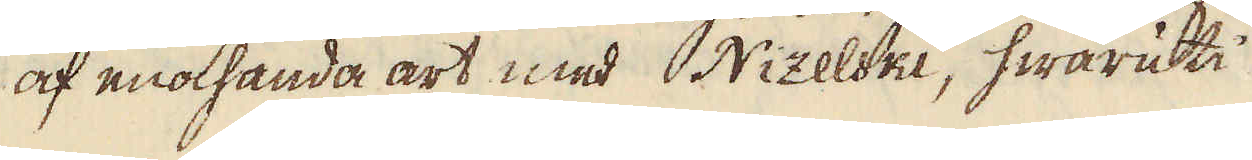af enahanda art med Nizelski, hwaruti
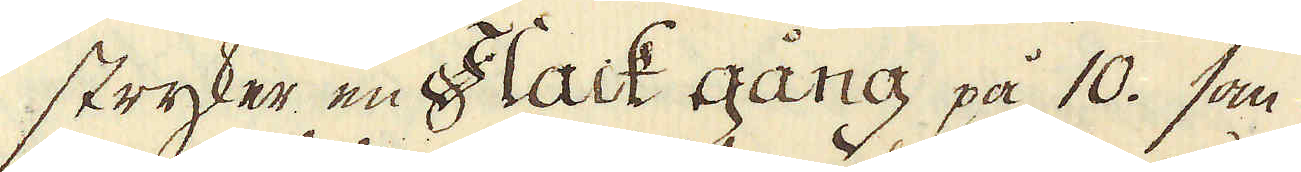stryker en Flack gång på 10. som
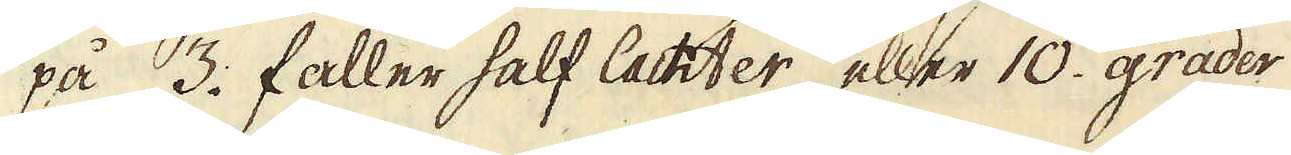på 3. faller half lachter, eller 10. grader
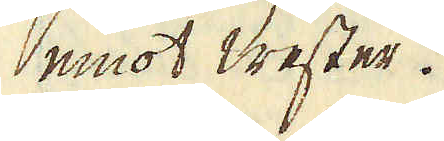emot Wester.
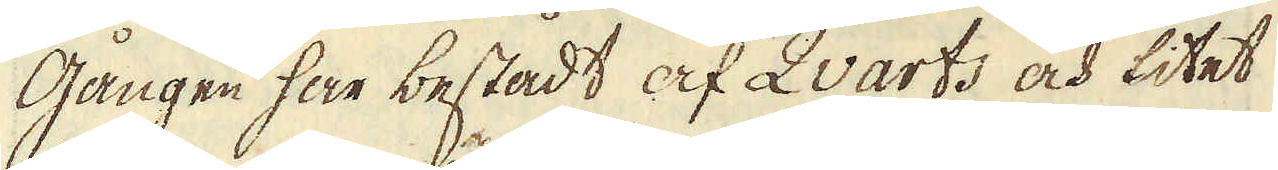Gången har bestådt af Qvarts och litet
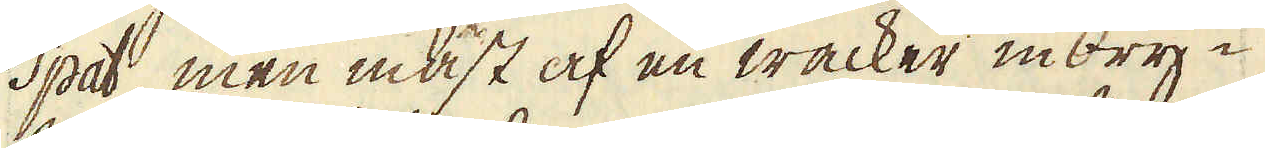Spat, men mäst af en wacker inbry-
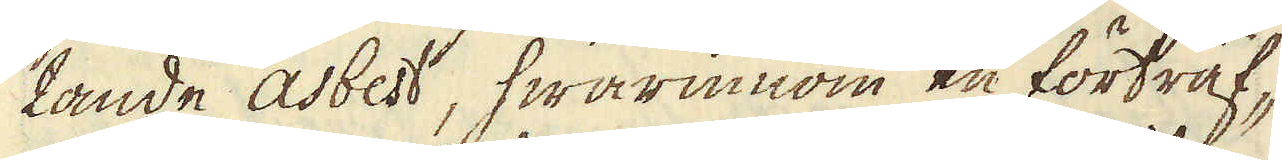tande asbest, hwarinnom en förträf-
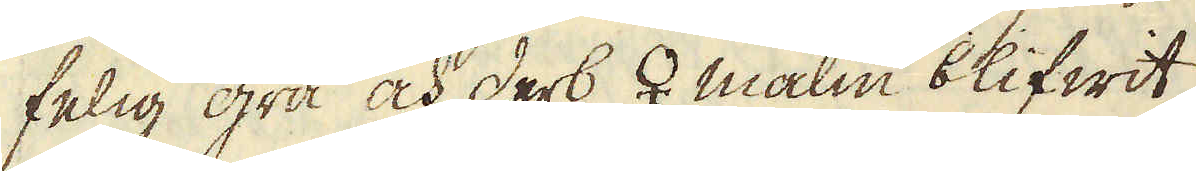felig grå och derb ♀ malm blifwit
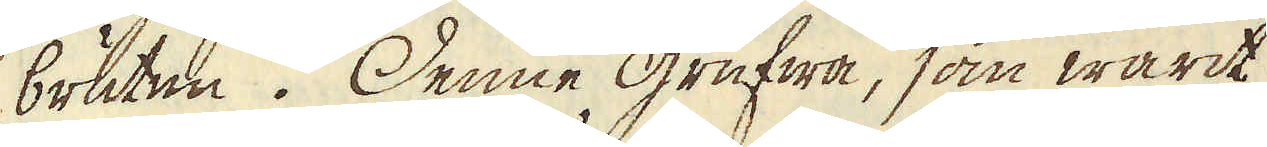bruten. Denne grufwa, som warit
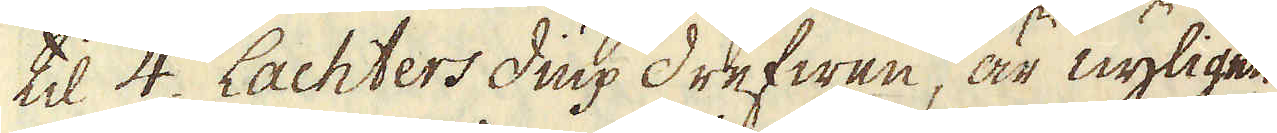til 4. Lachters diup drefwen, är nyligen
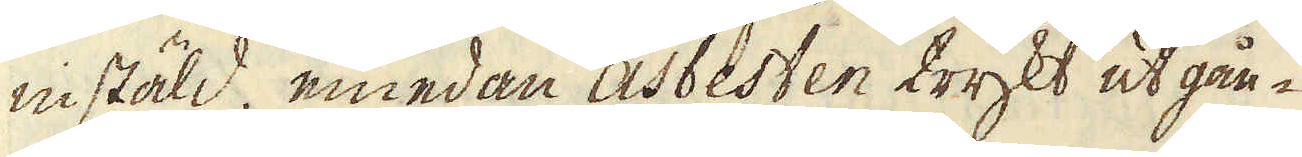instäld, emedan asbesten trykt ut gån-
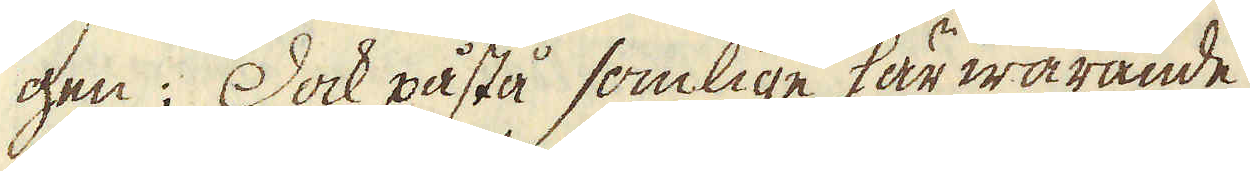gen. Dock påstå somlige här warande,
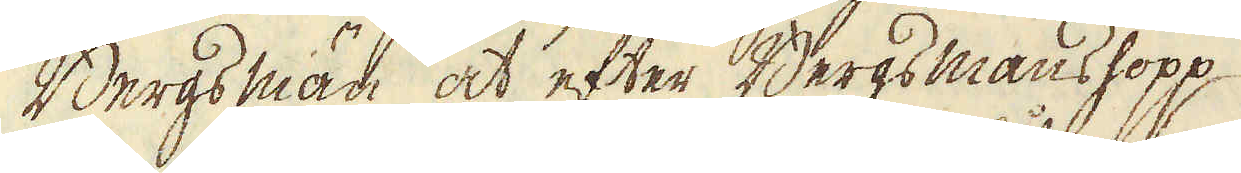Bergs män, at efter Bergs mans hopp
